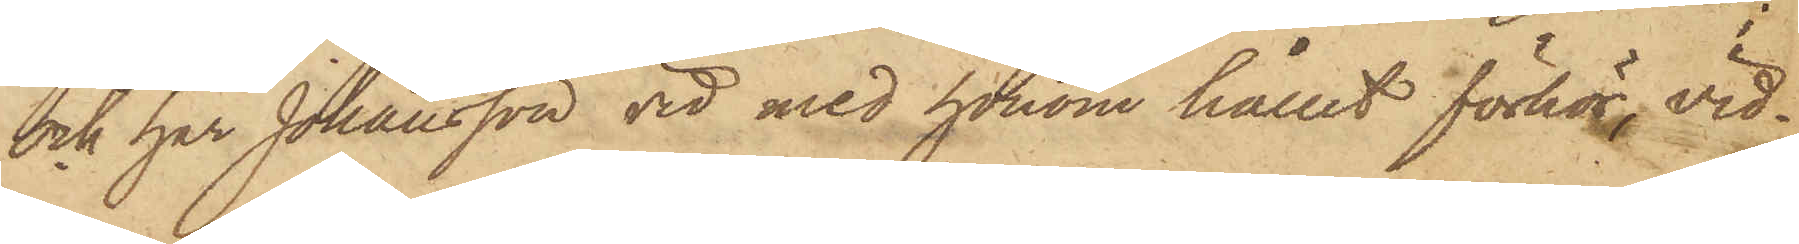och har Johansson vid med honom hållit förhör, vid¬
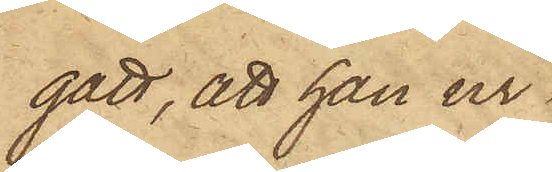gått, att han ur
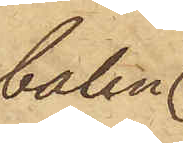balen
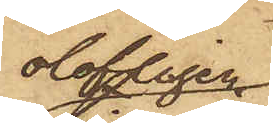olofligen
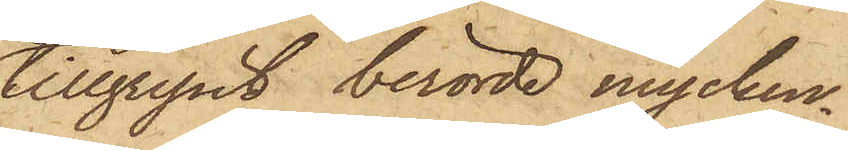tillgripit berörde mycken¬
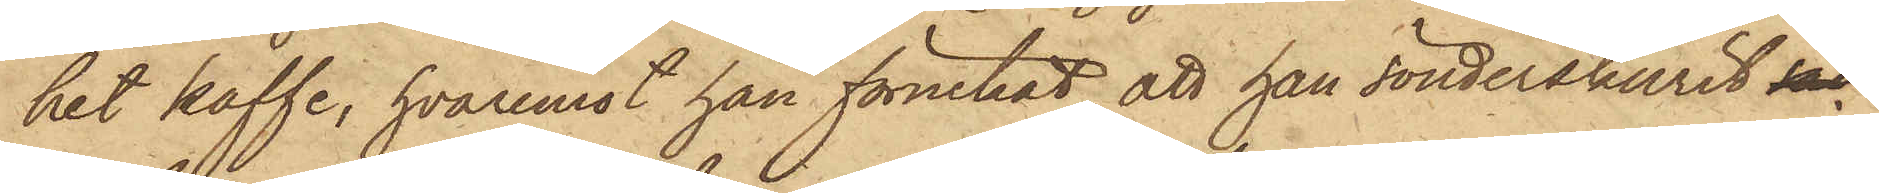het kaffe, hvaremot han förnekat, att han sönderskurit säc¬
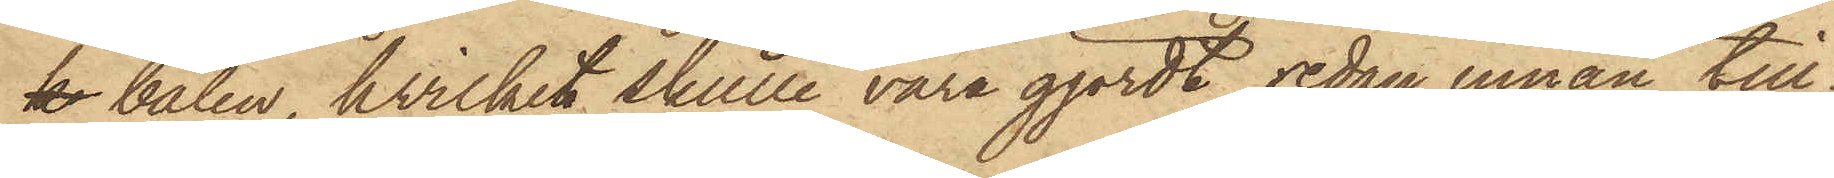k balen, hvilket skulle vara gjordt sedan innan till¬
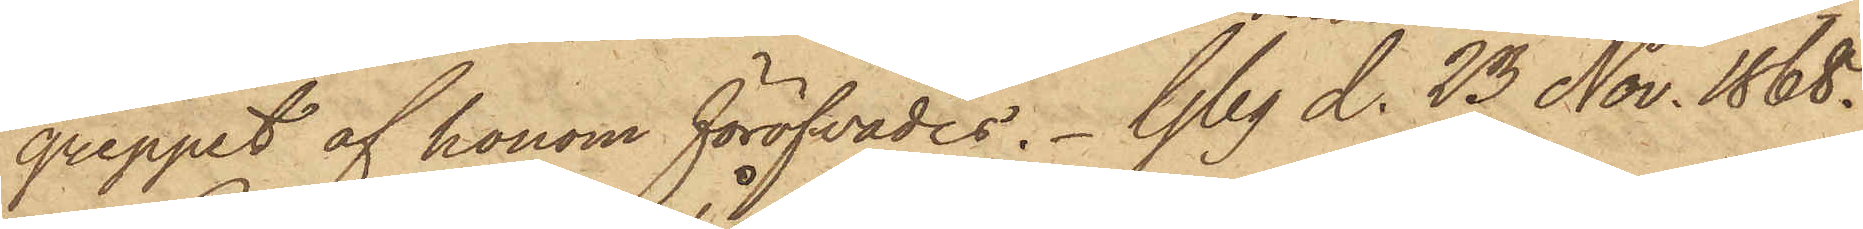greppet af honom föröfvades. Gbg d. 23 Nov. 1868.
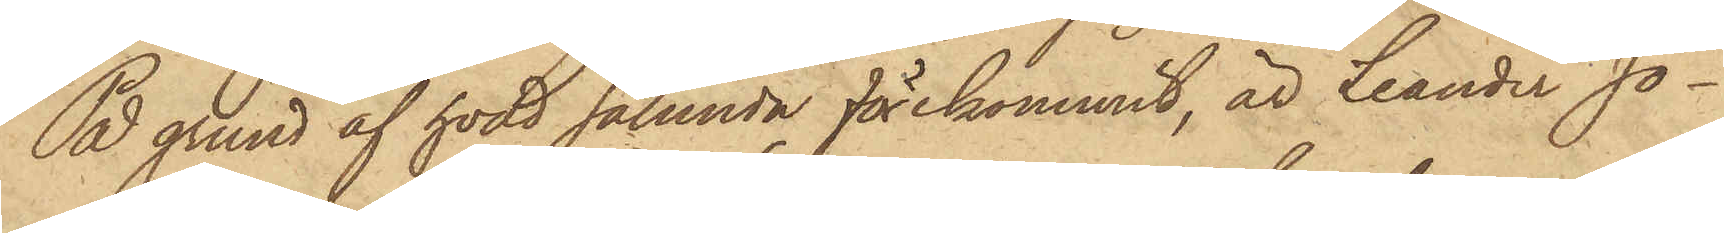På grund af hvad sålunda förekommit, är Leander Jo¬
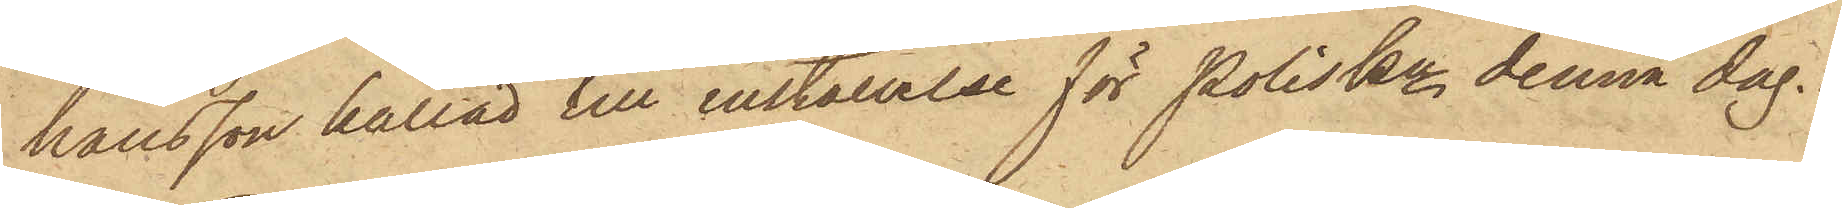hansson kallad till inställelse för PolisKn denna dag.
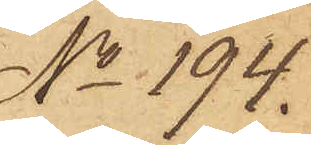No 194.
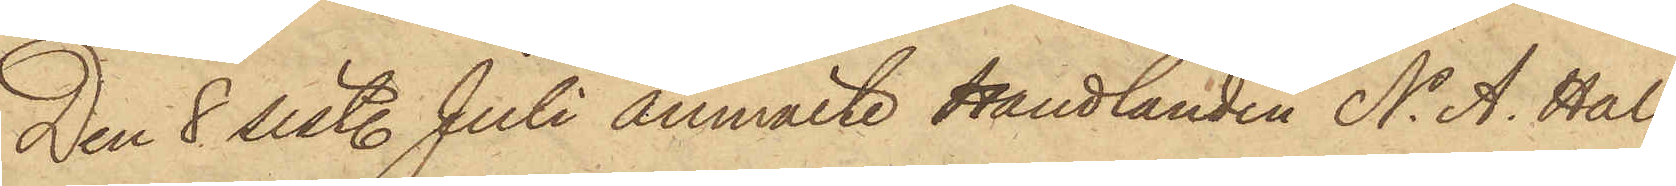Den 8 sist. Juli anmälte Handlanden N. A. Hal¬
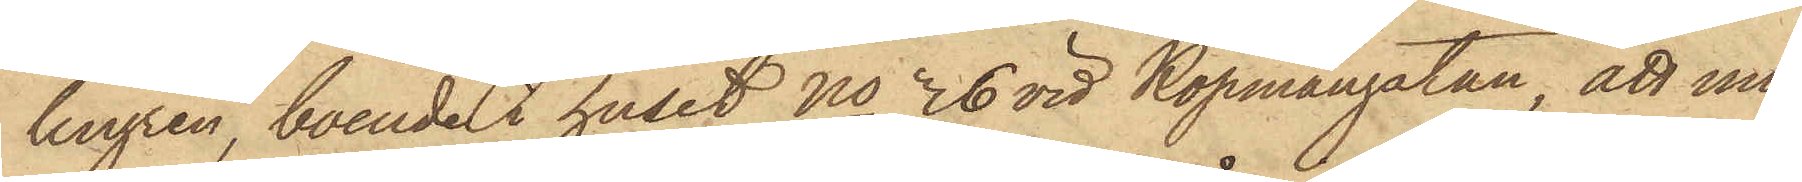lengren, boende i huset No 36 vid Köpmangatan, att un¬
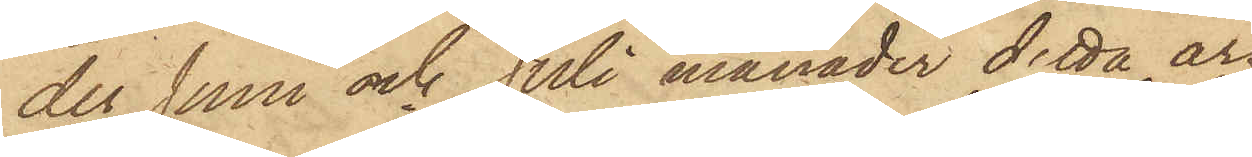der Juni och Juli månader detta år
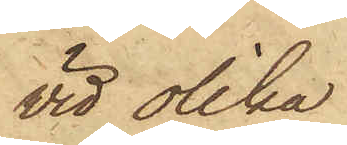vid olika
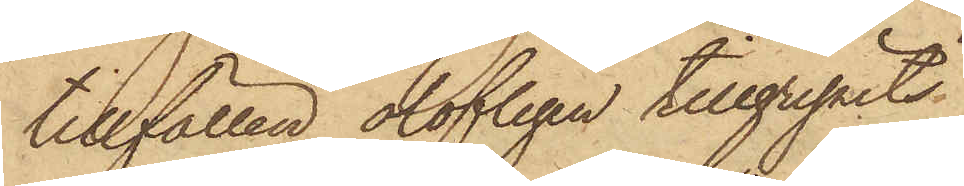tillfällen olofligen tillgripits
